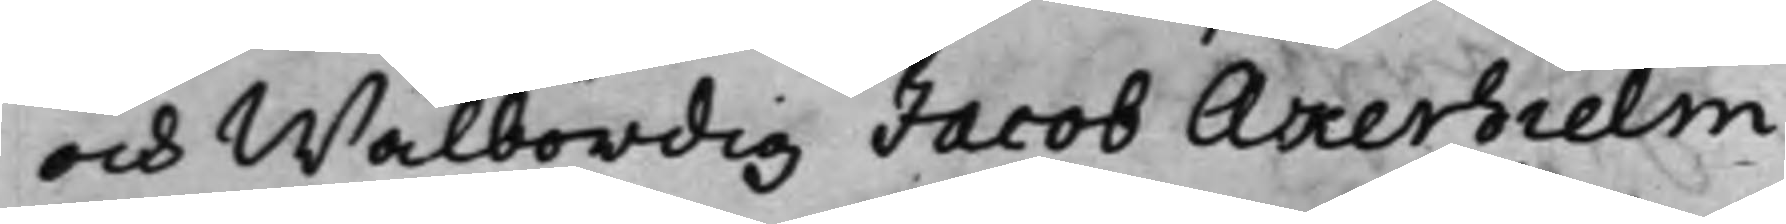och Wälbördig Jacob Åkerhielm,
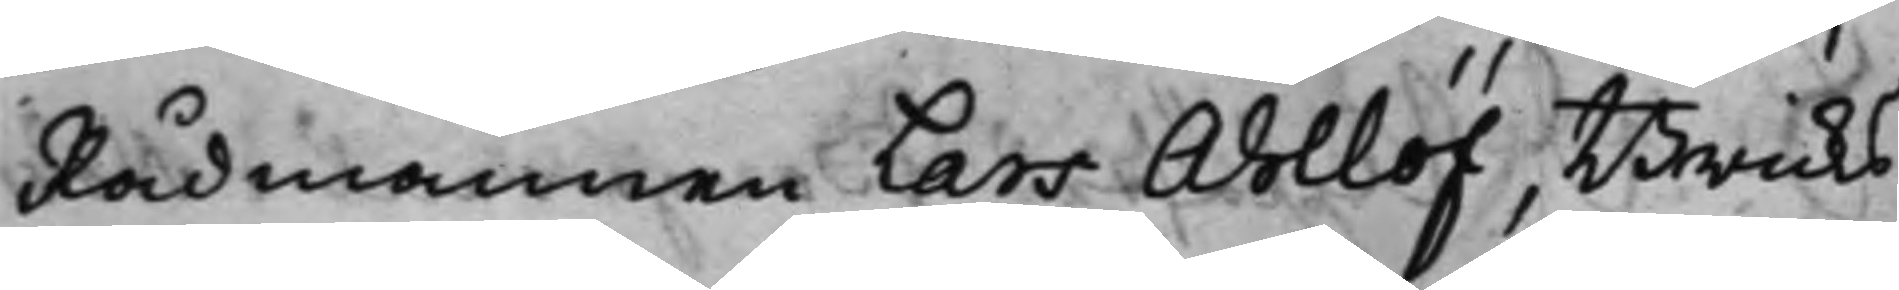Rådmannen Lars Ahllöf, Bruks¬
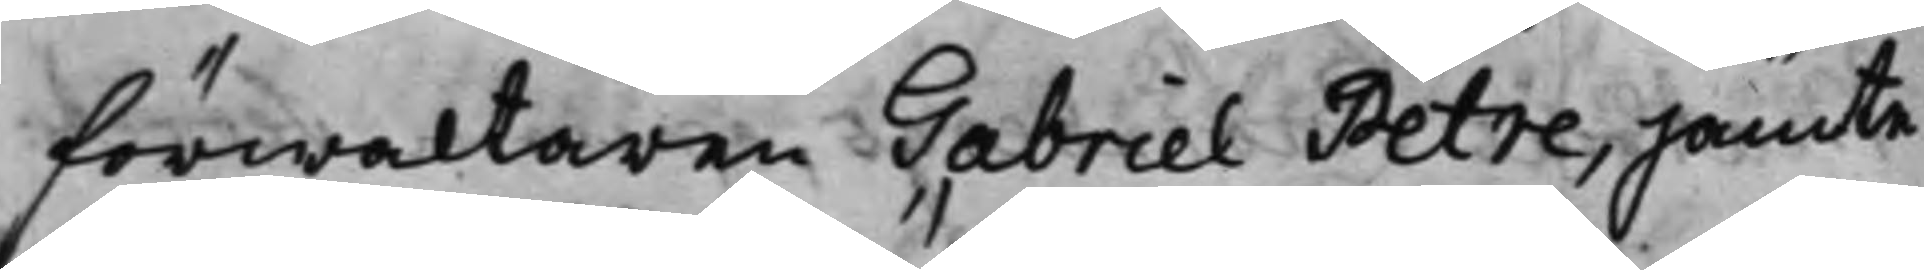förwaltaren Gabriel Petre, jämte
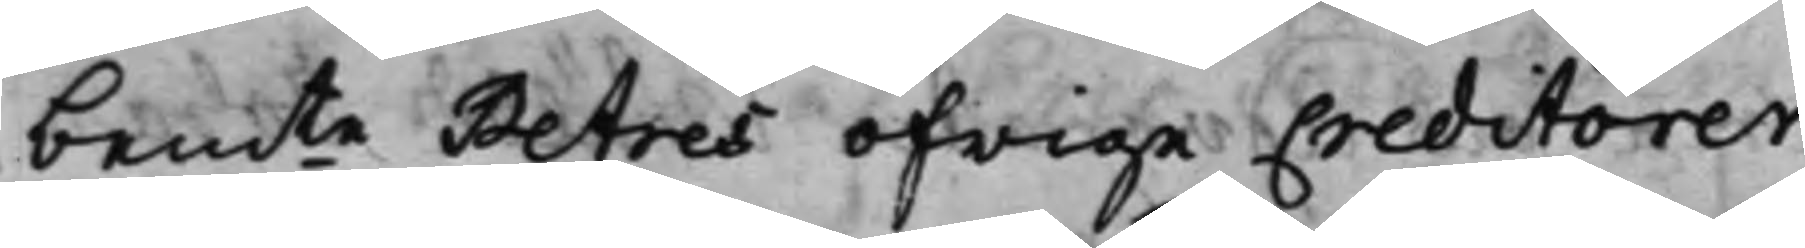bemte Petres öfrige Creditorer
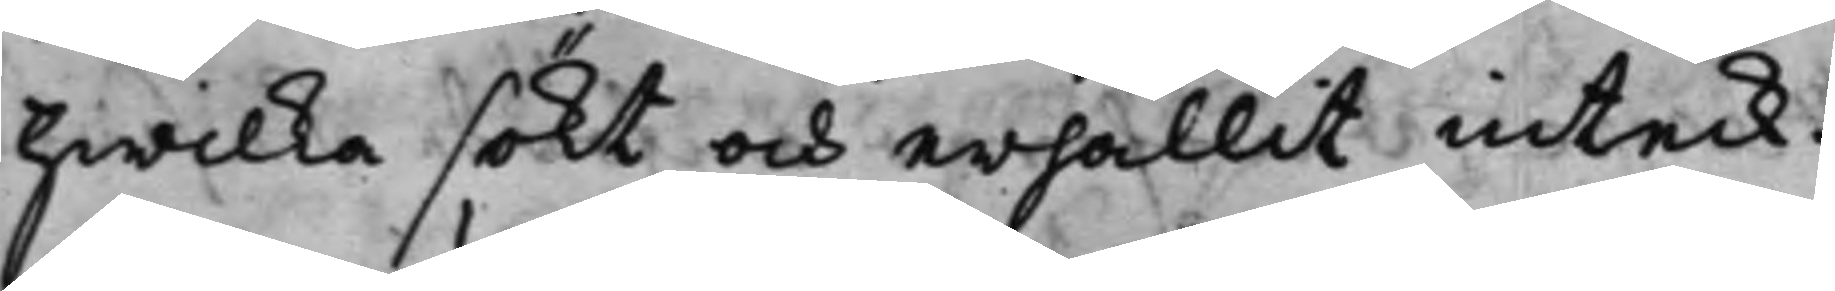hwilka sökt och erhållit inteck¬
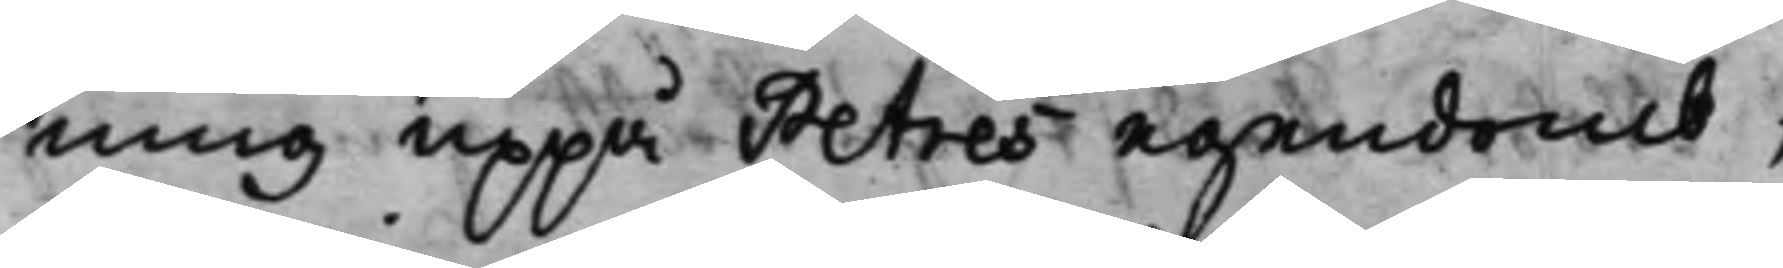ning uppå Petres egendomb,
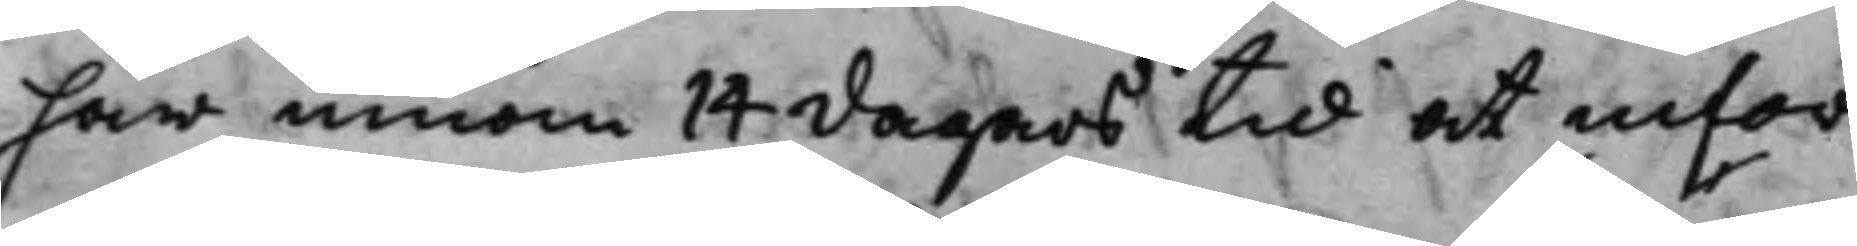har innom 14 dagars tid at infor¬
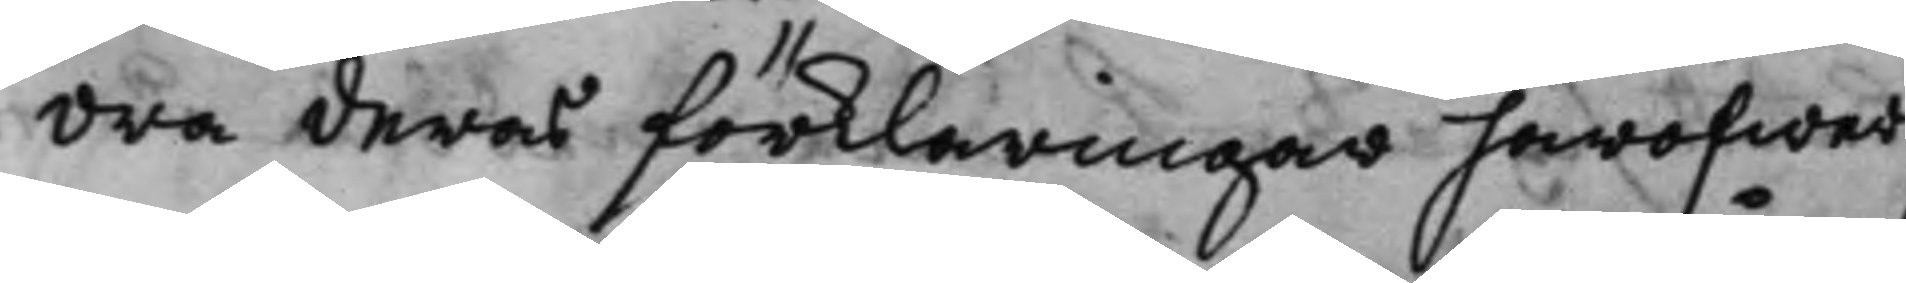dra deras förklaringar häröfwer
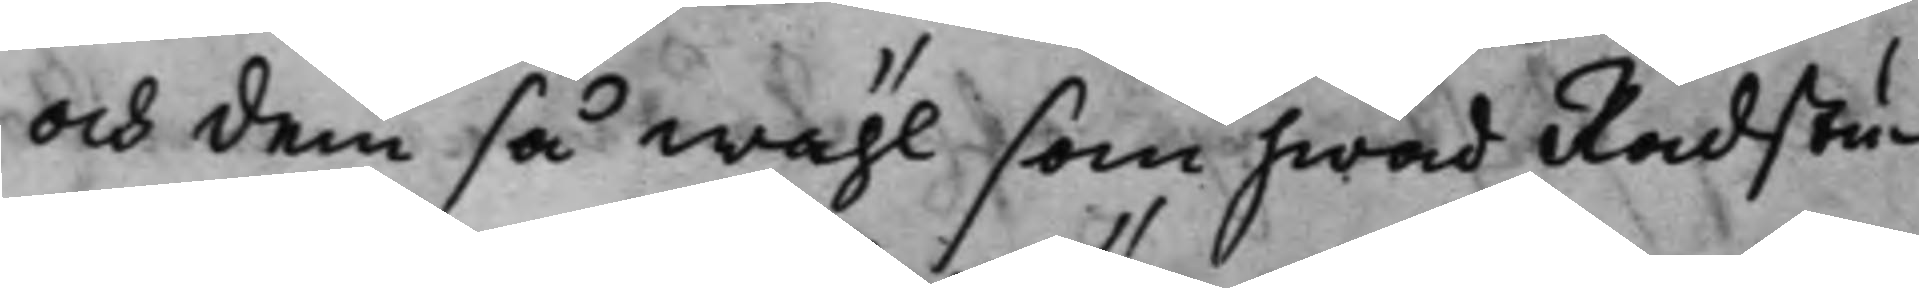och dem så wähl som hwad Rådstu¬
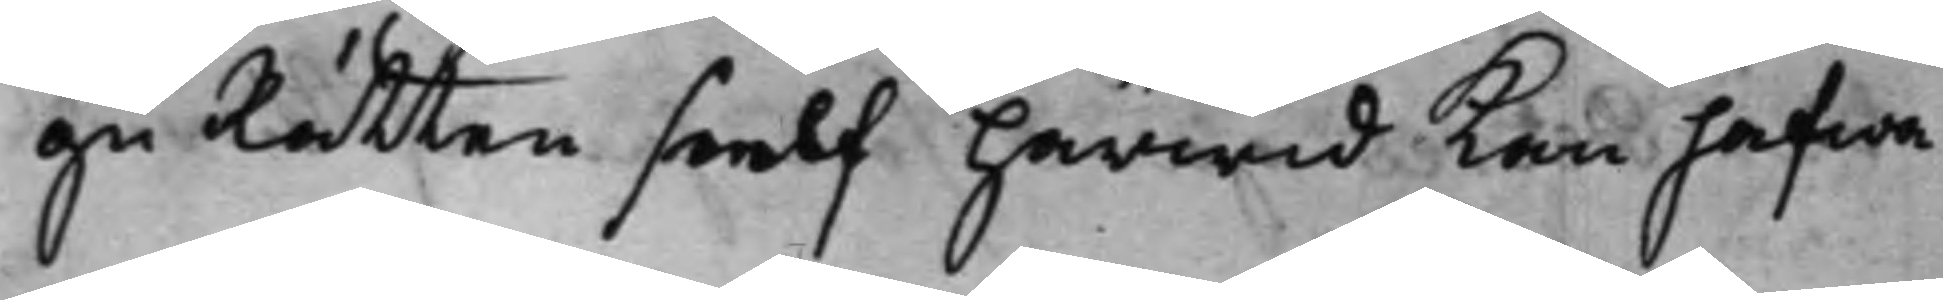gu Rätten sielf härwid kan hafwa
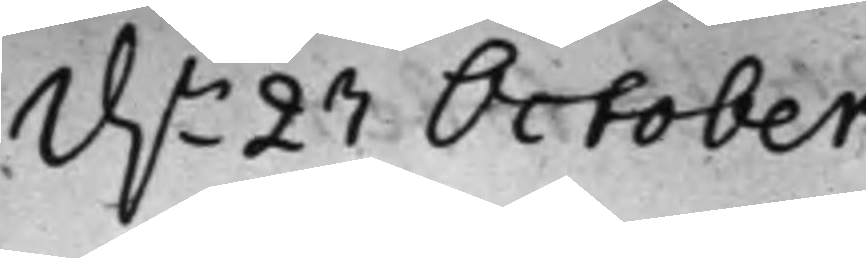d.n 27 October
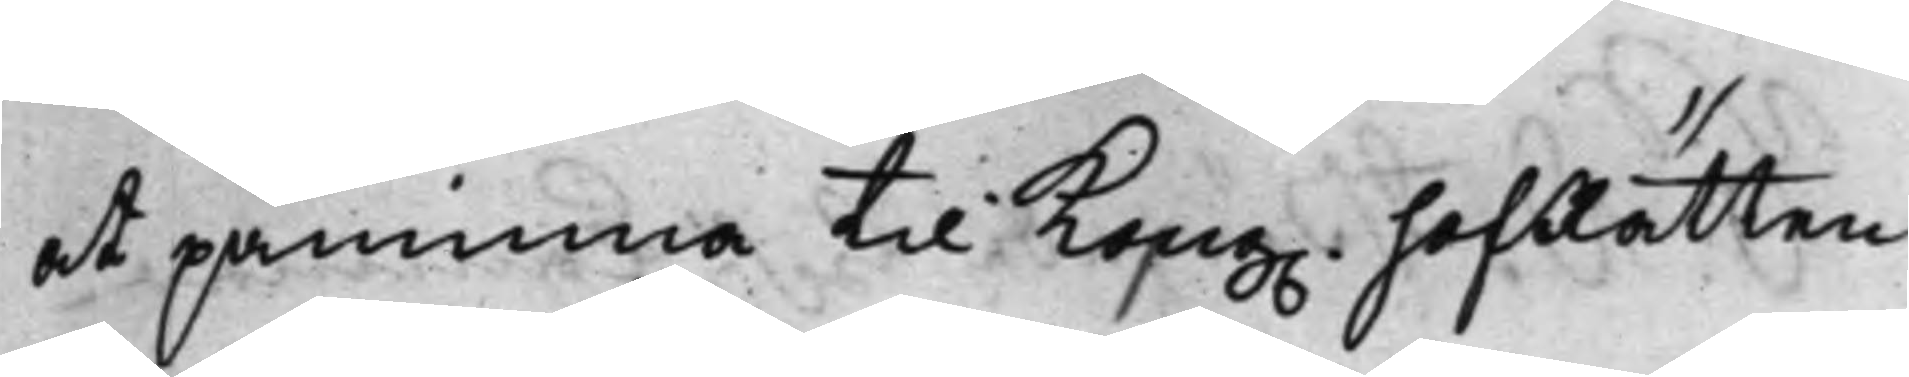at påminna til Kong. HofRätten
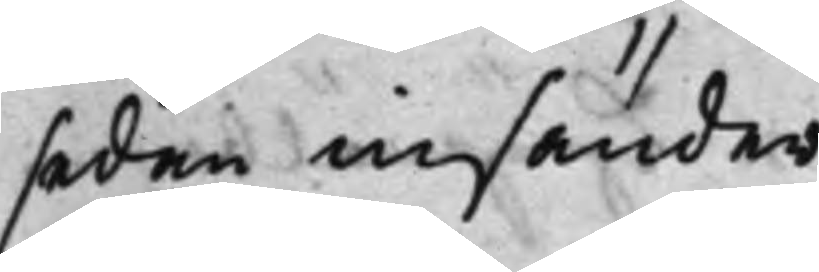sedan insänder.
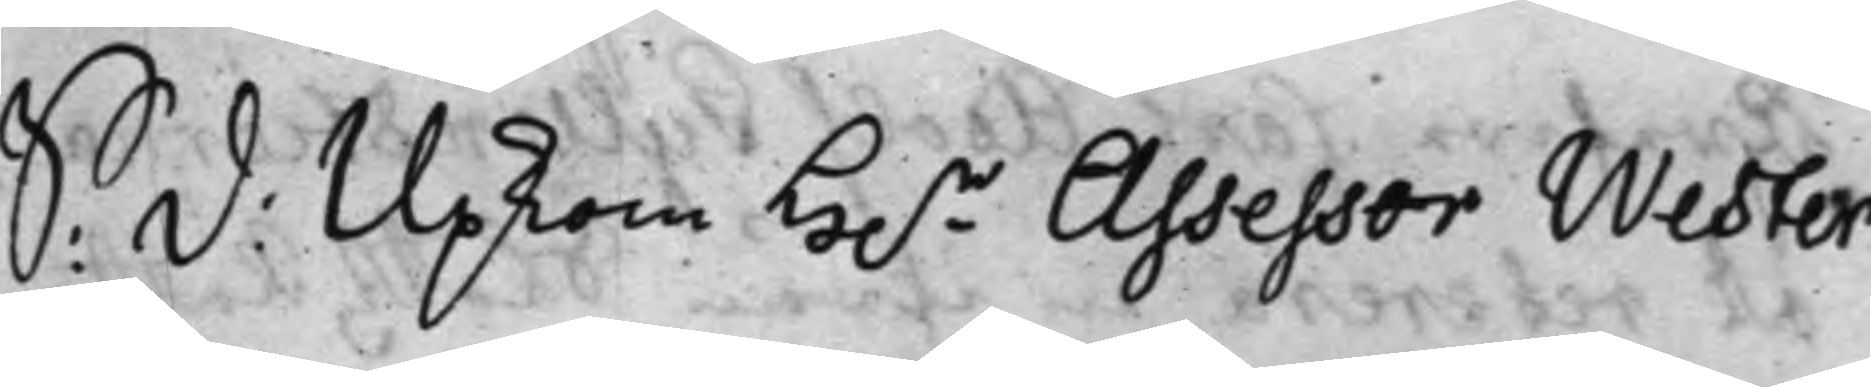S: D: Upkom h.r Assessor Wester
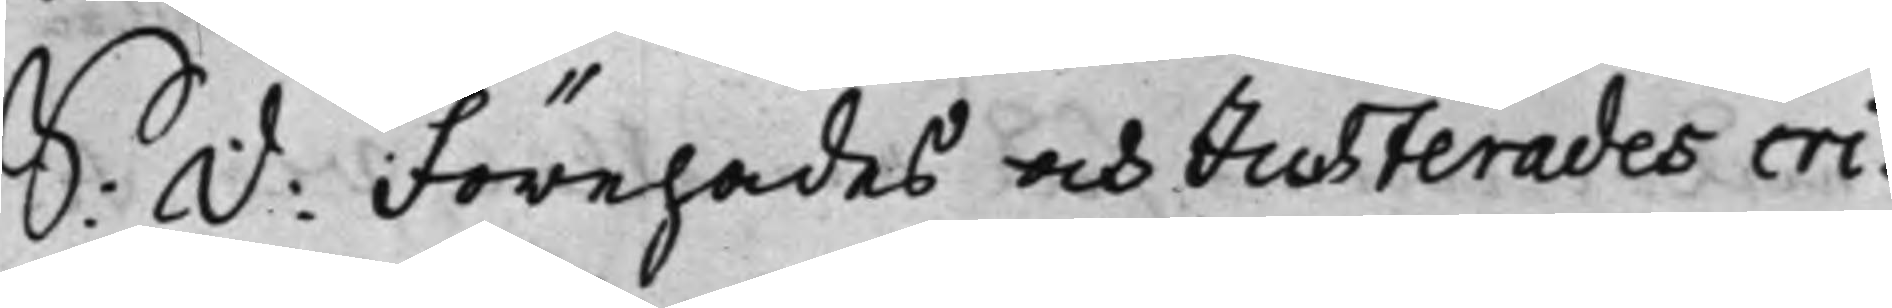S: D: Förehades och Justerades cri ¬
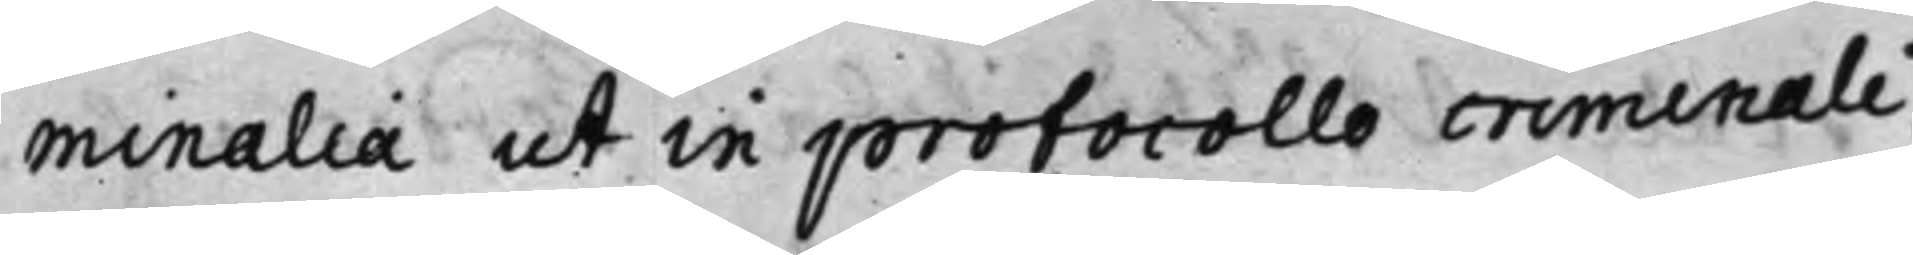minalia ut in protocollo criminali.
